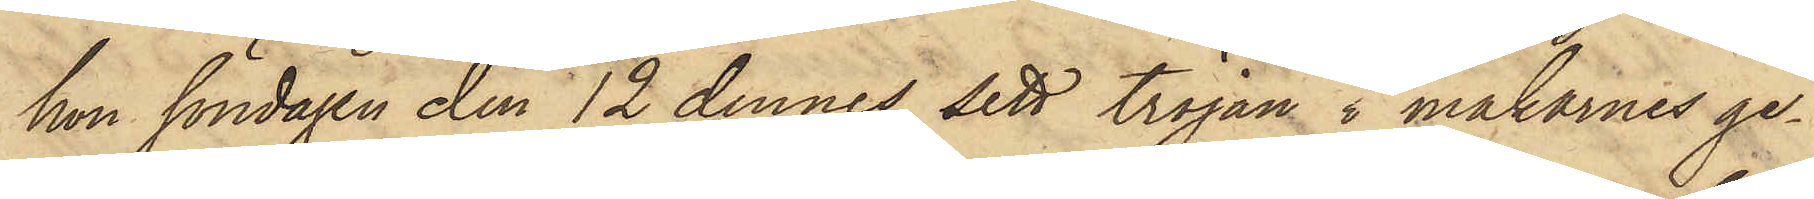hon söndagen den 12 dennes sett tröjan i makarnes ge¬
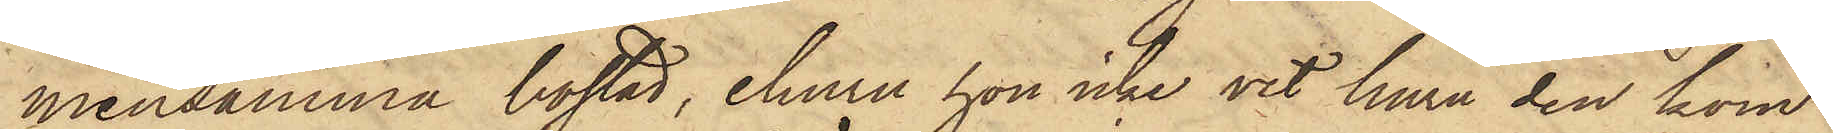mensamma bostad, ehuru hon icke vet huru den kom¬
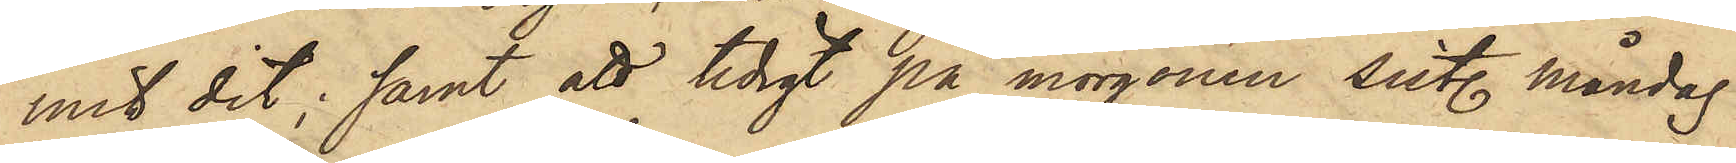mit dit; samt att tidigt på morgonen sist. måndag
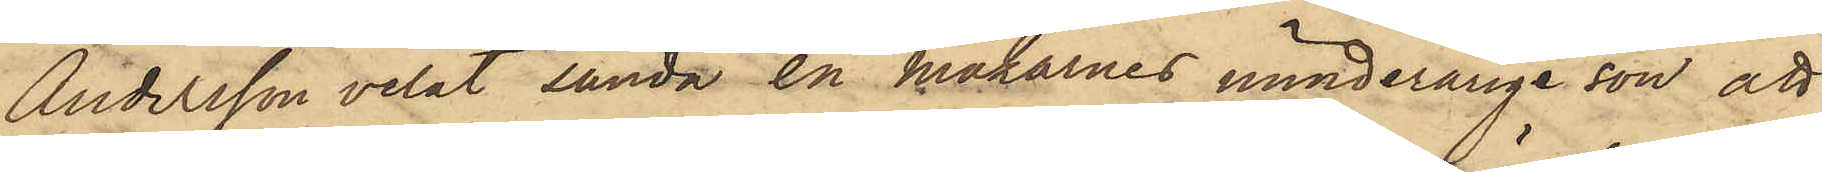Andersson velat sända en makarnes minderårige son att
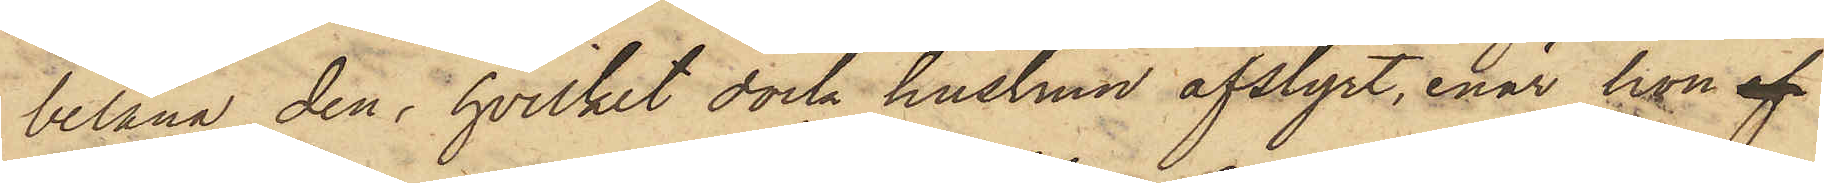belåna den, hvilket dock hustrun afstyrt, enär hon af
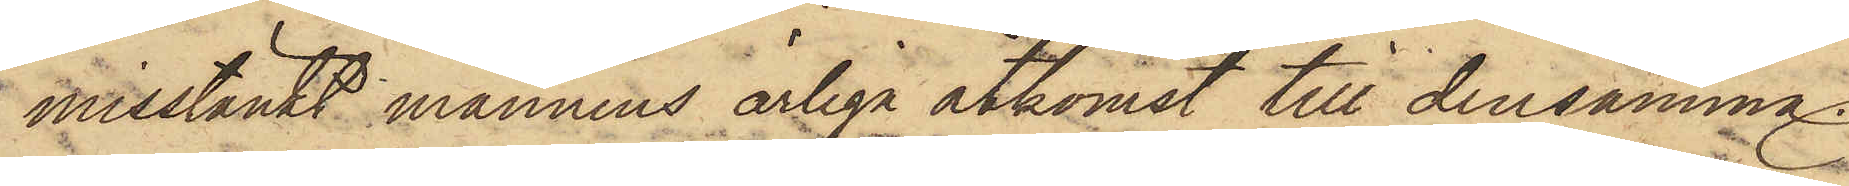misstänkt mannens ärliga åtkomst till densamma.
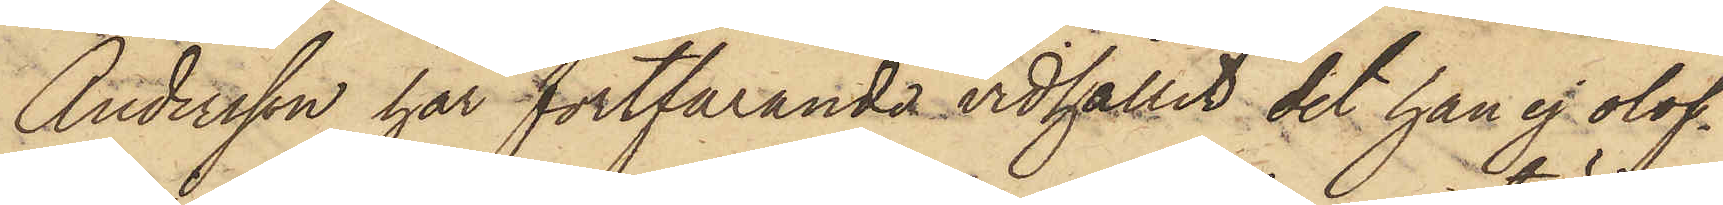Andersson har fortfarande vidhållit det han ej olof¬
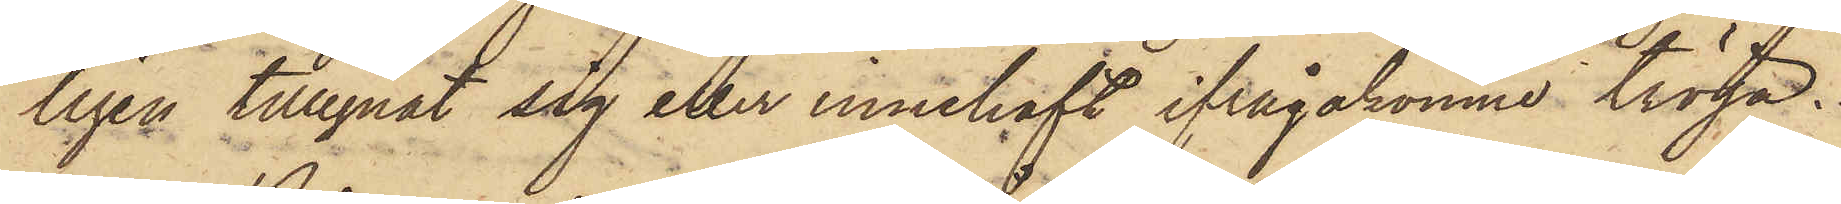ligen tillegnat sig eller innehaft ifrågakomne tröja.
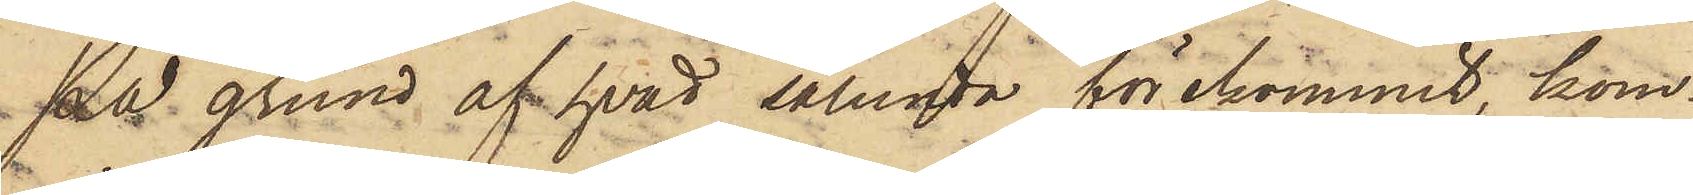På grund af hvad sålunda förekommit, kom¬
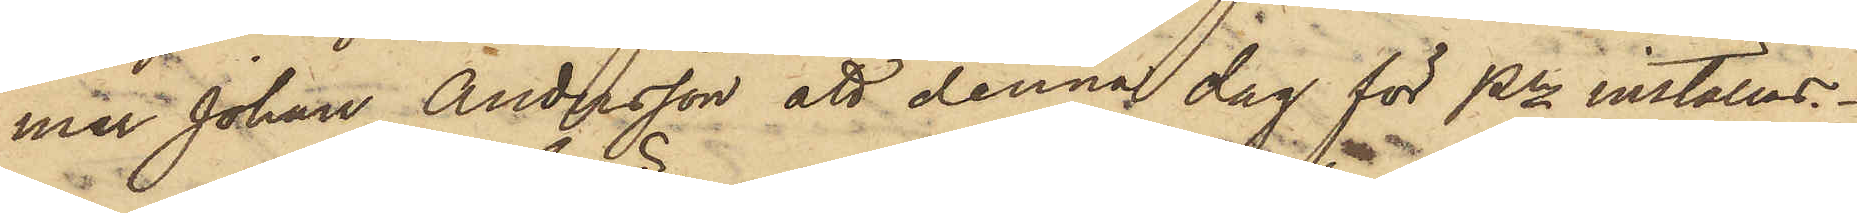mer Johan Andersson att denna dag för Pkn inställas.
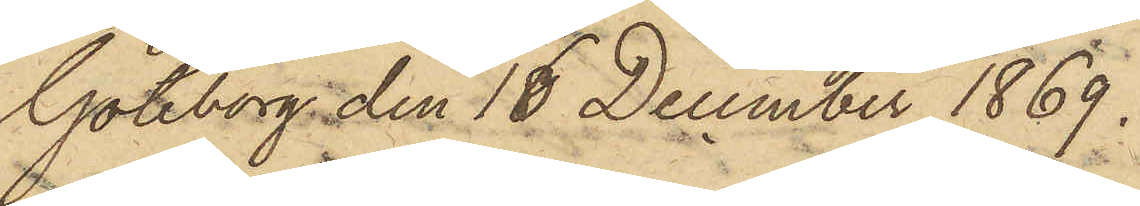Göteborg den 16 December 1869.
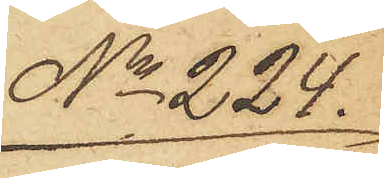No 224.
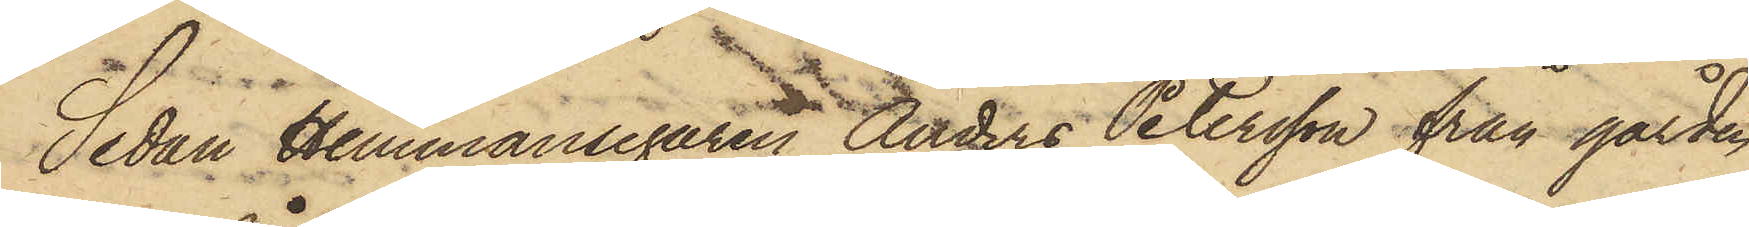Sedan Hemmansegaren Anders Petersson från gården
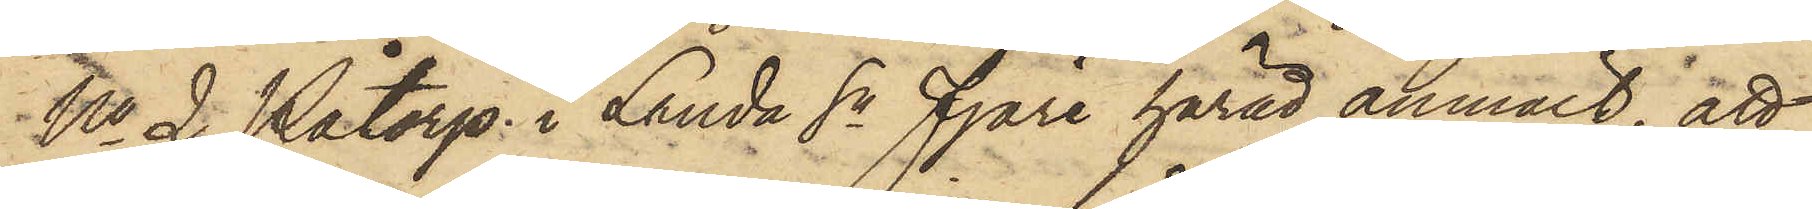No 2 Påtorp i Lunda Sn Fjäre härad anmält, att
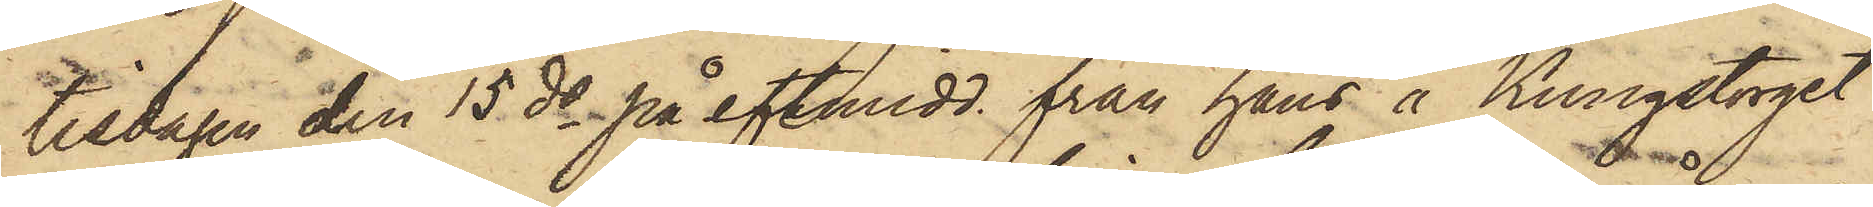tisdagen den 15 ds på eftmidd från hans å Kungstorget
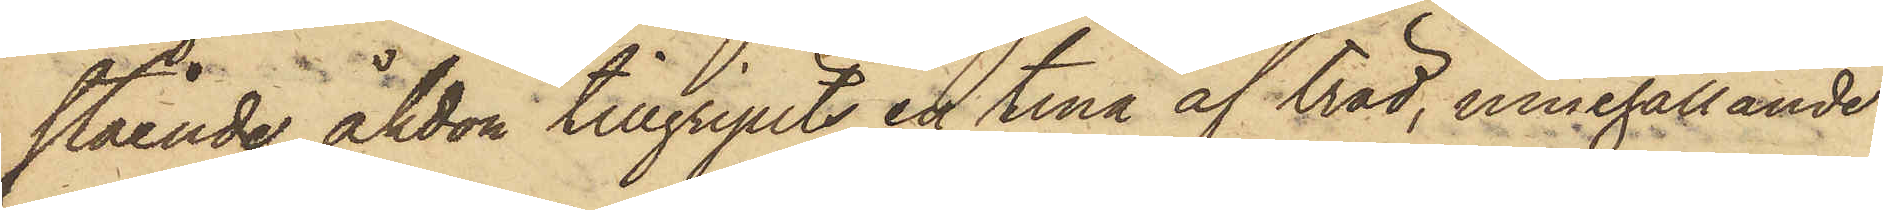stående åkdon tillgripits en tina af träd, innehållande
